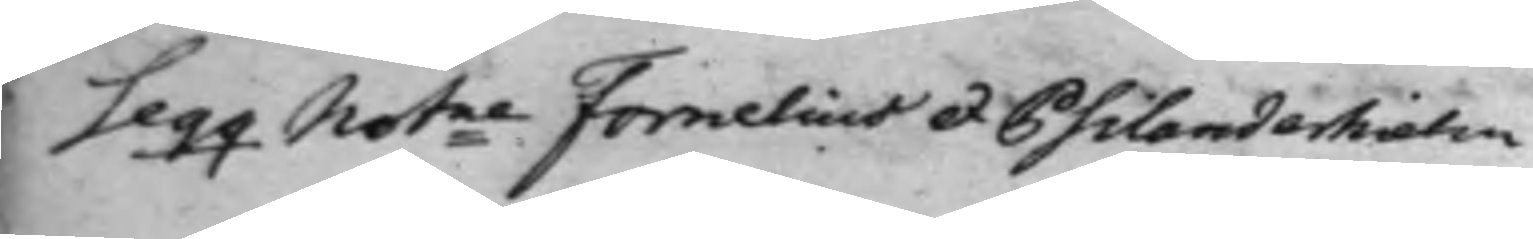Seqq. Notne Fornelius et Psilanderhielm
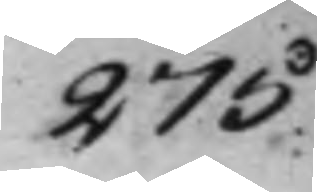275
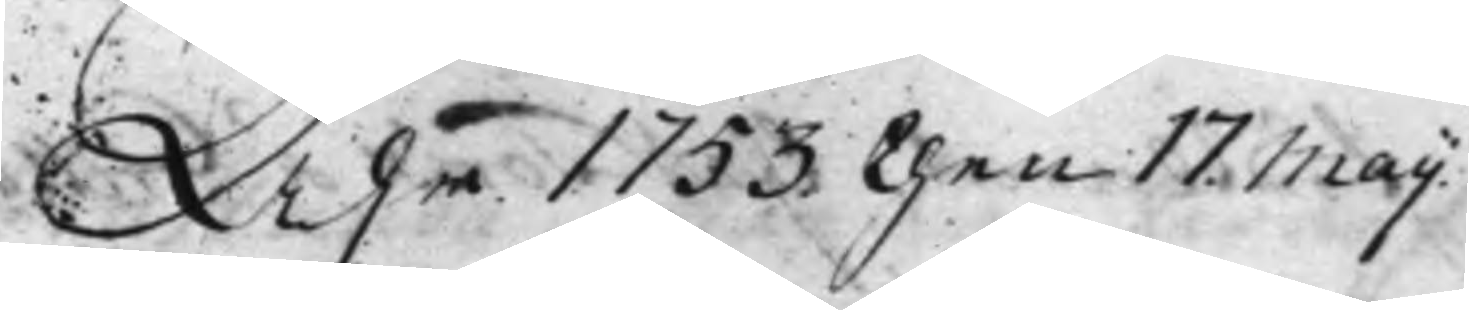Åhr 1753. then 17. Maij.
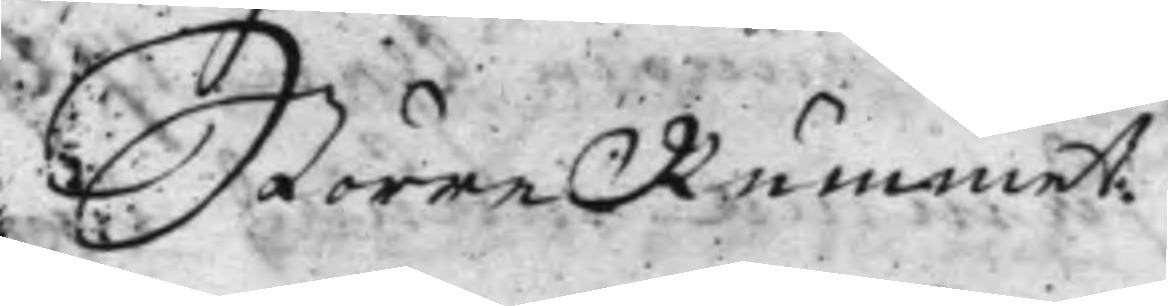Större Rummet.
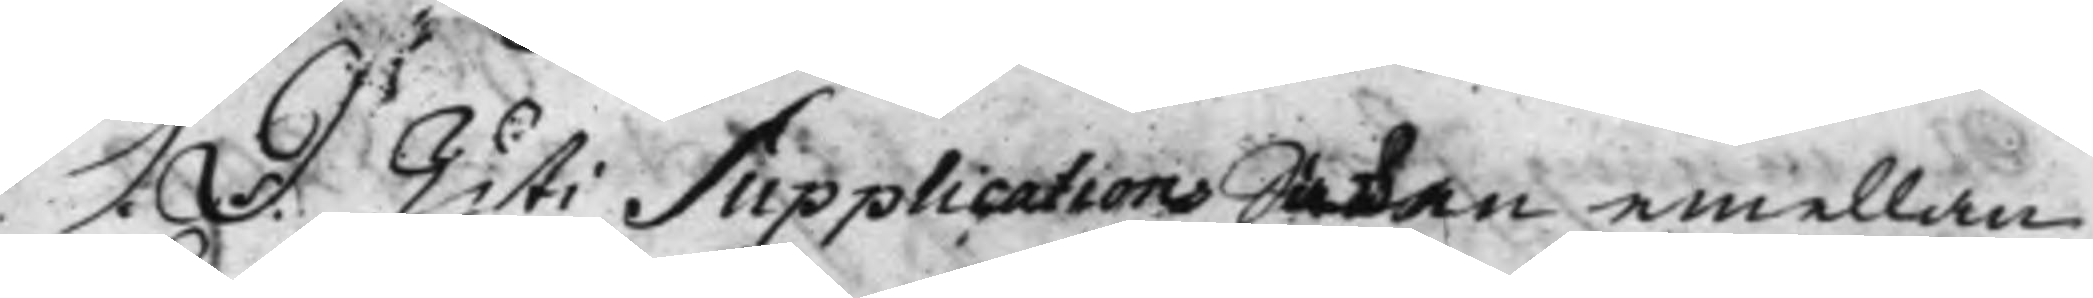S. D. Uti Supplications Saken emellan
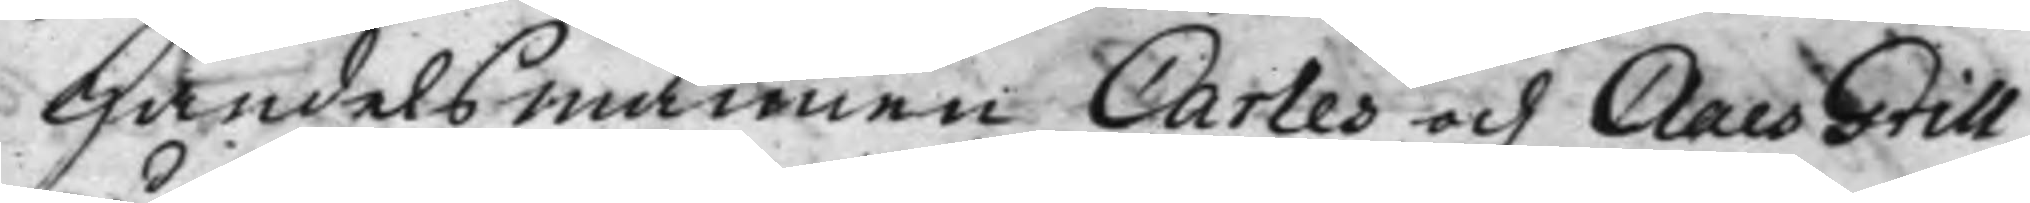Handelsmännen Carles och Claes Grill,
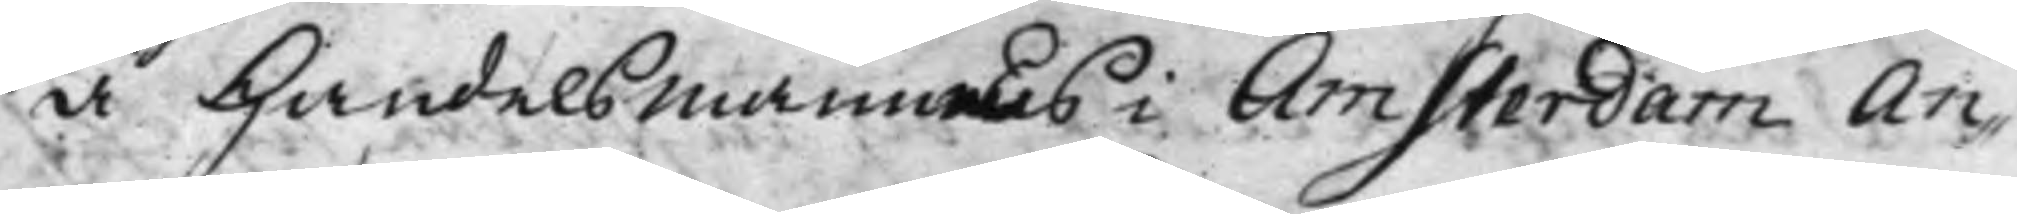å Handelsmännens i Amsterdam An¬
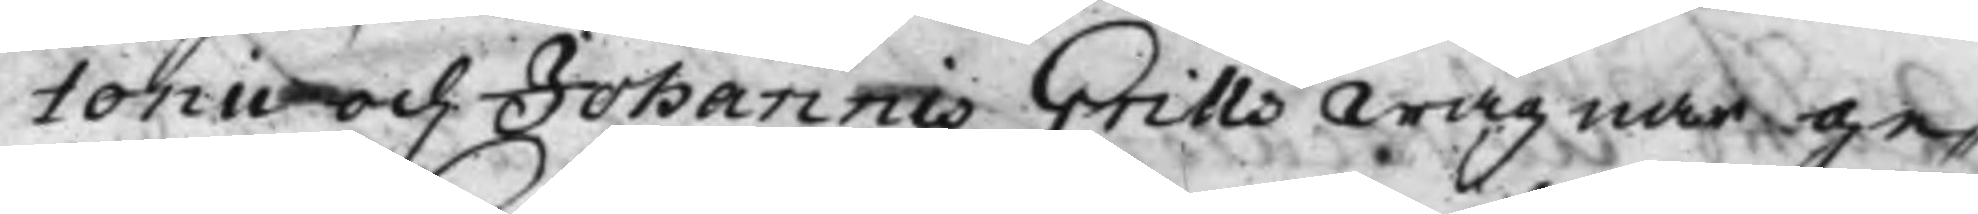tonii och Johannis Grills wägnar ge¬
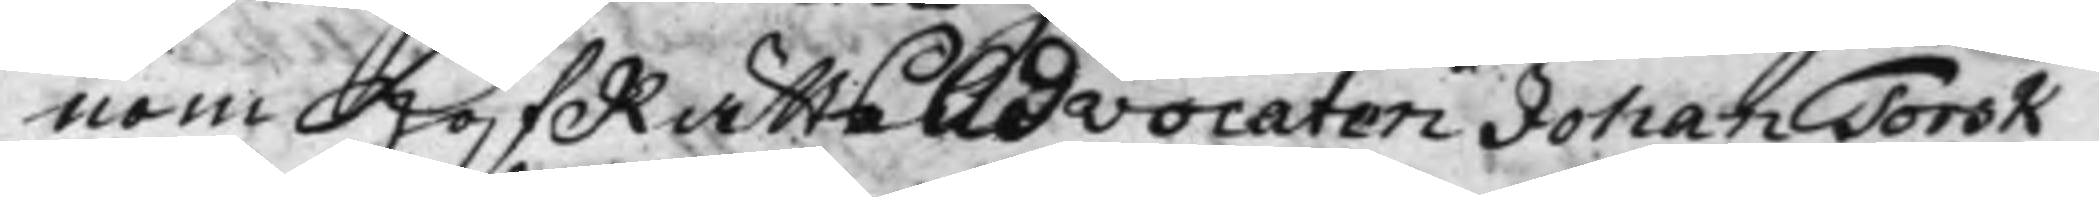nom HofRättsAdvocaten Johan Torsk,
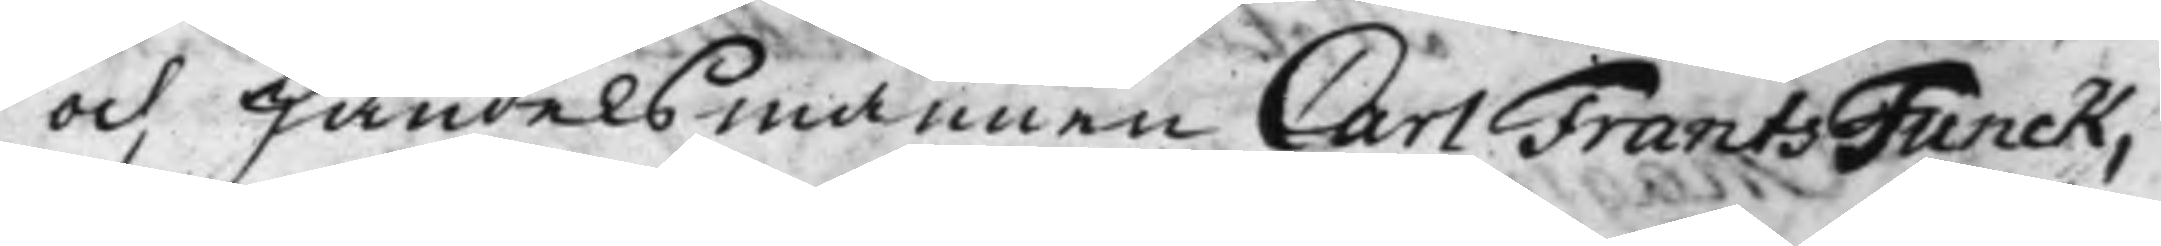och Handelsmannen Carl Frants Funck,
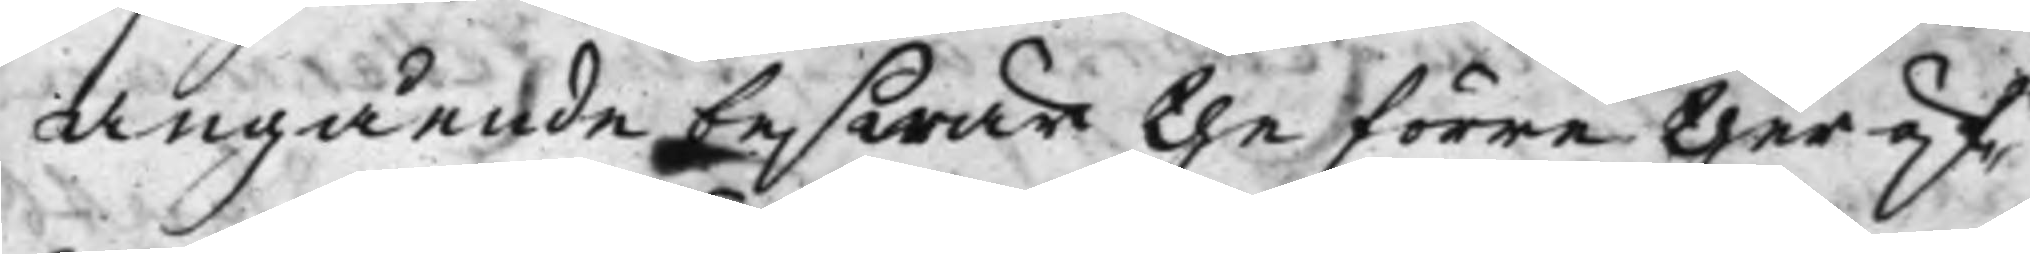angående beswär the förre theröf¬
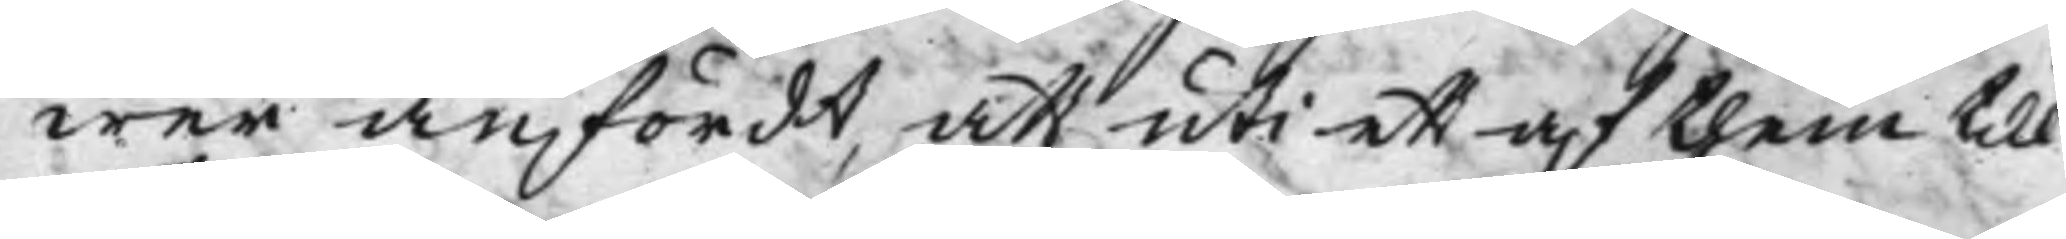wer anfördt, att uti ett af them till
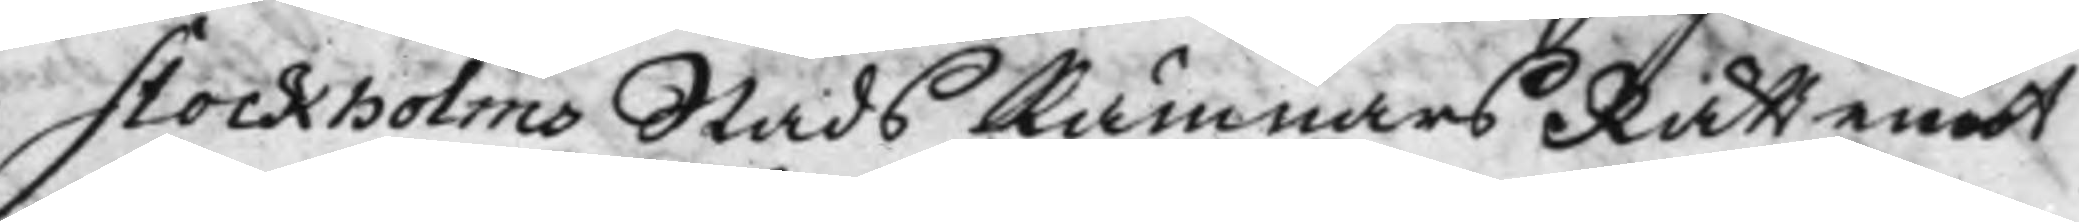Stockholms Stads KämnarsRätt emot
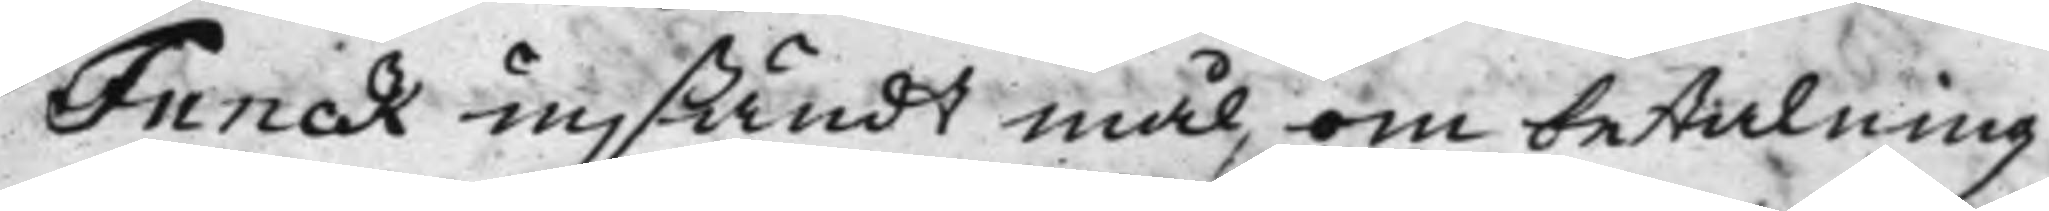Funck insändt mål, om betalning
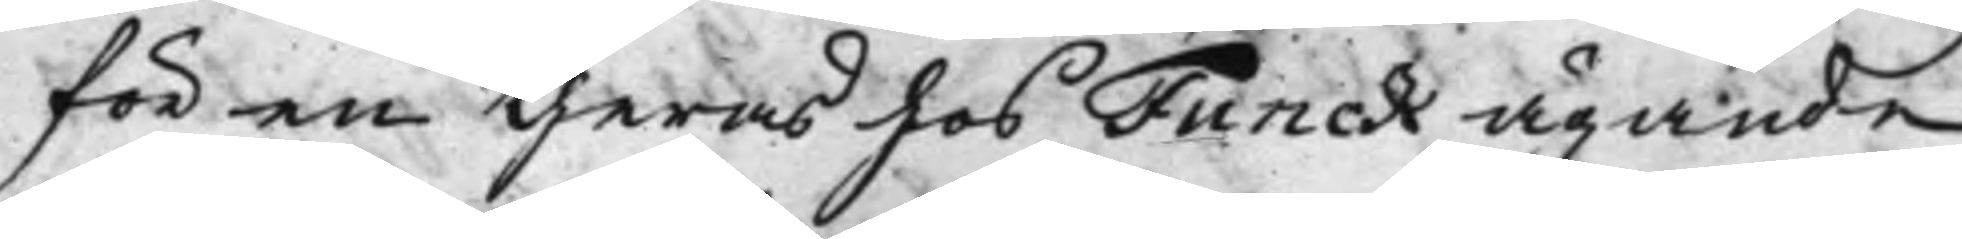för en theras hos Funck ägande
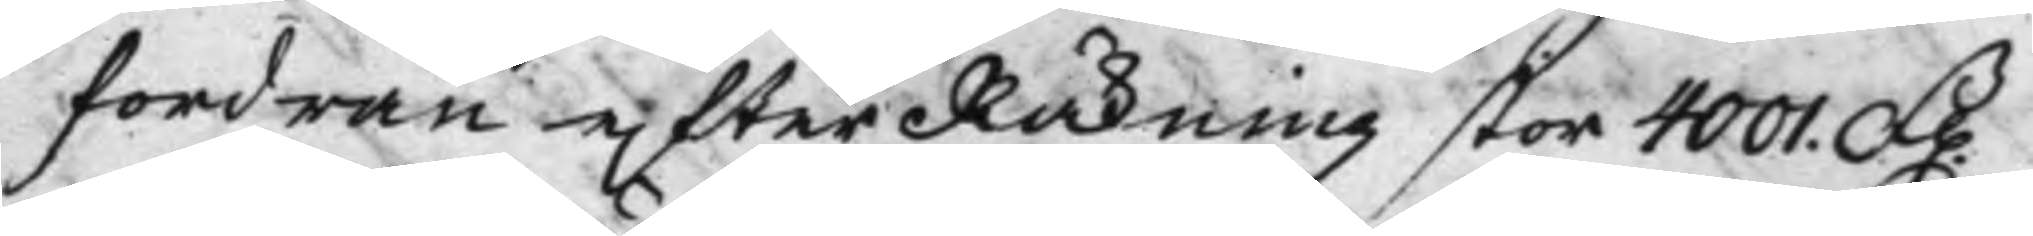fordran efter Räkning stor 4001. D.
